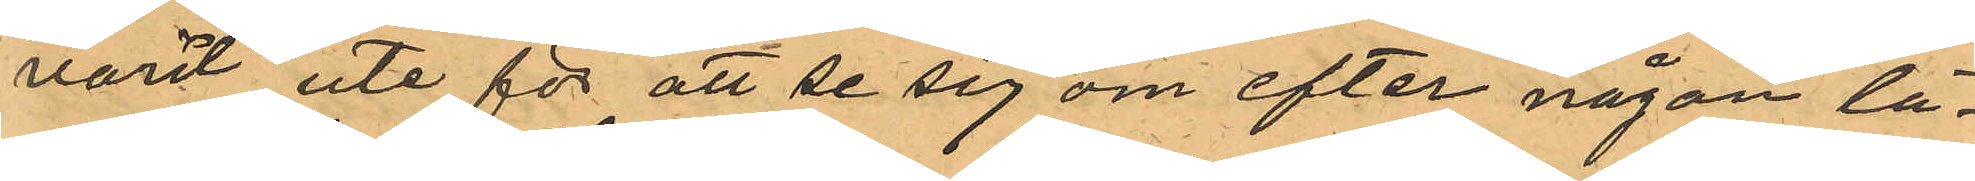varit ute för att se sig om efter någon lä¬
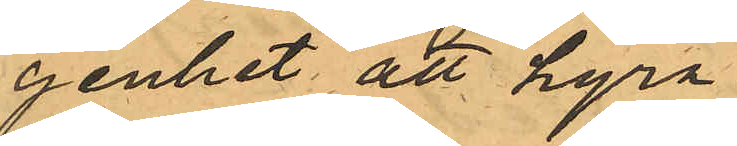genhet att hyra.
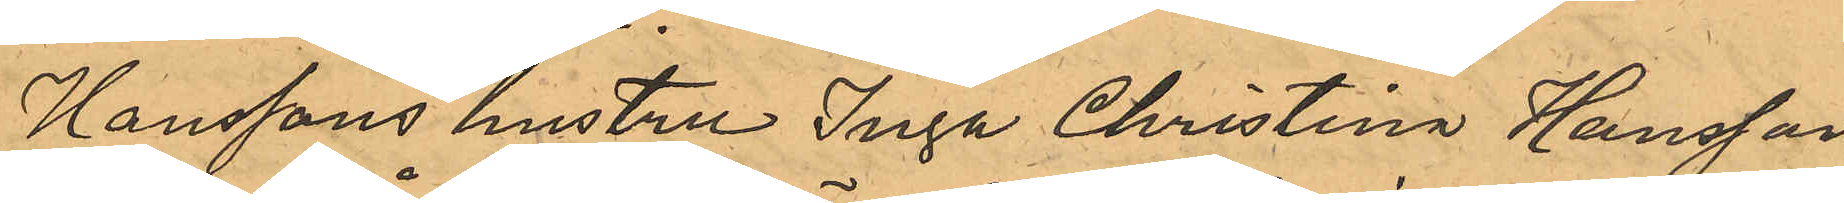Hanssons hustru Inga Christina Hansson,
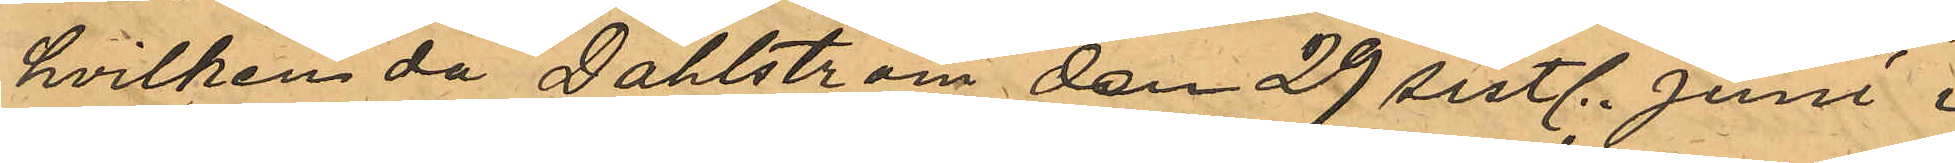hvilken då Dahlström den 29 sistl. Juni i
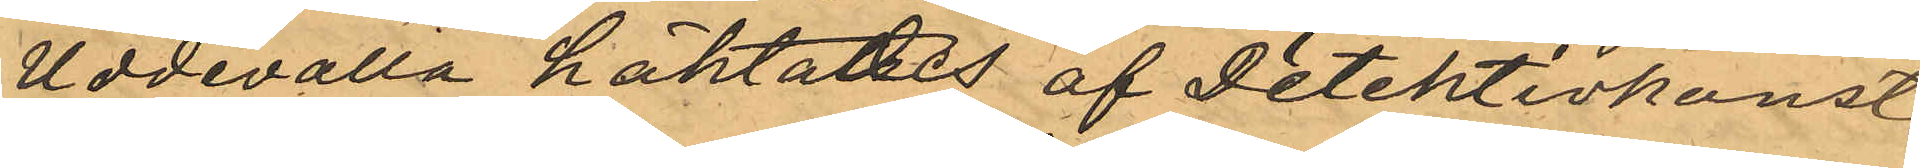Uddevalla häktades af Detektivkonst.
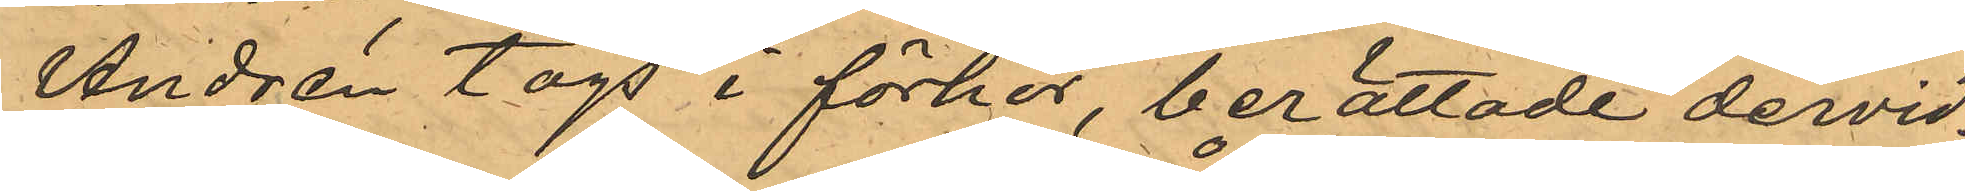Andrén togs i förhör, berättade dervid;
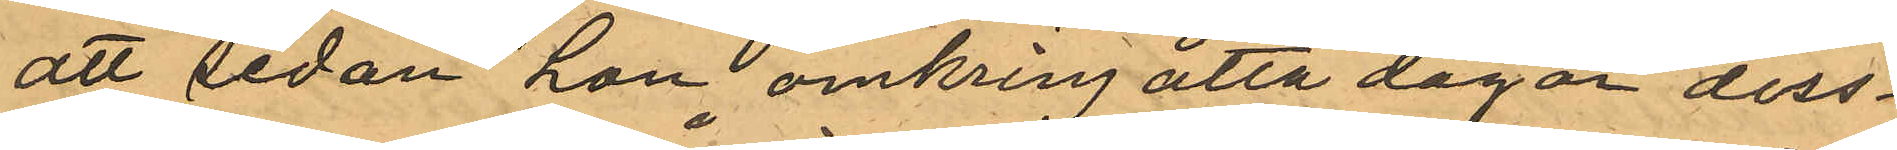att sedan han omkring åtta dagar dess¬
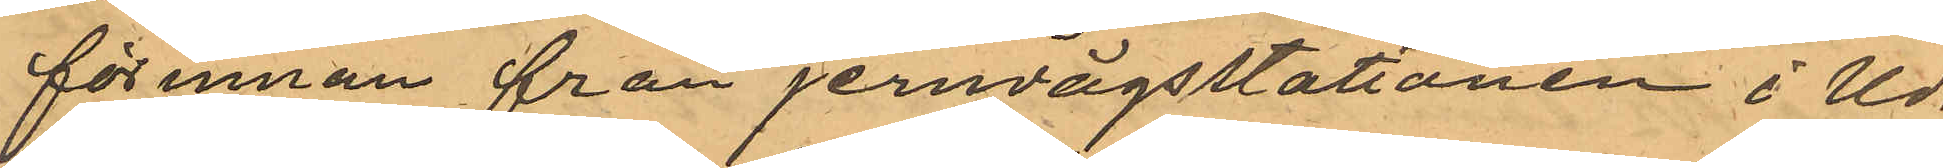förinnan från jernvägsstationen i Ud¬
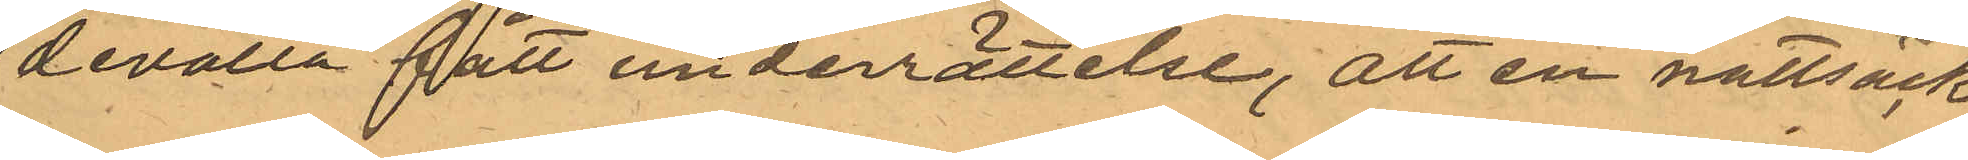devalla fått underrättelse, att en nattsäck
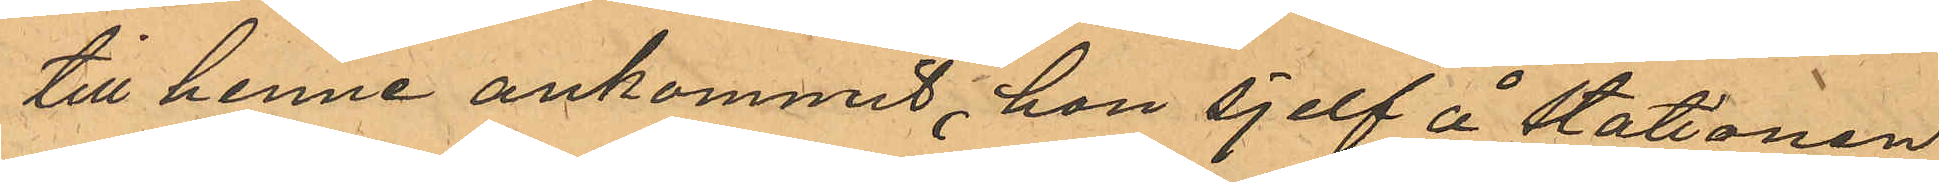till henne ankommit, hon sjelf å stationen
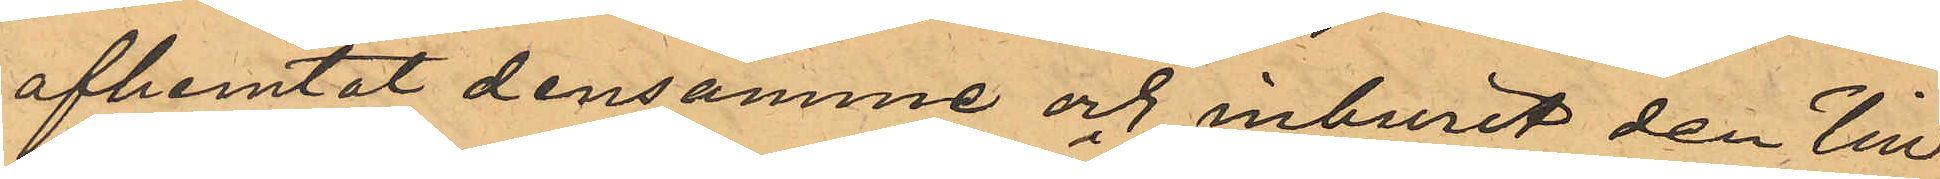afhemtat densamme och inburit den till
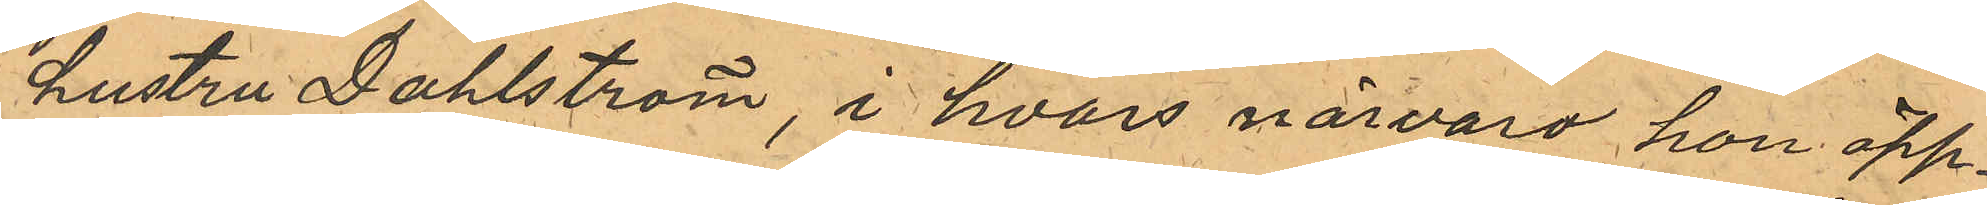hustru Dahlström, i hvars närvaro hon öpp¬
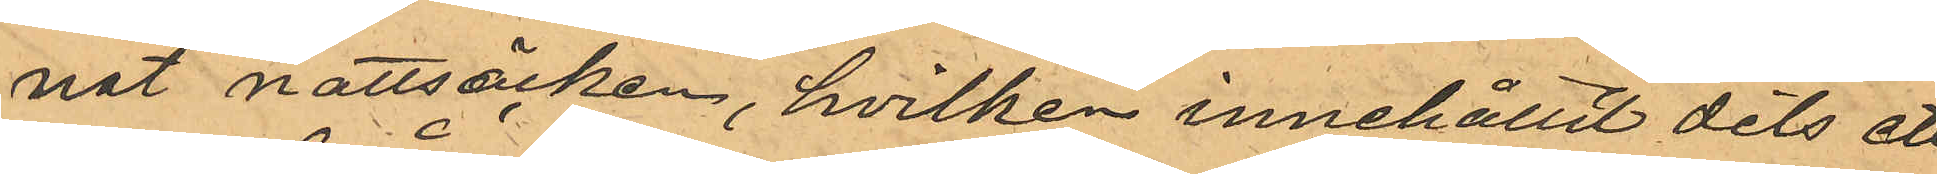nat nattsäcken, hvilken innehållit dels ett
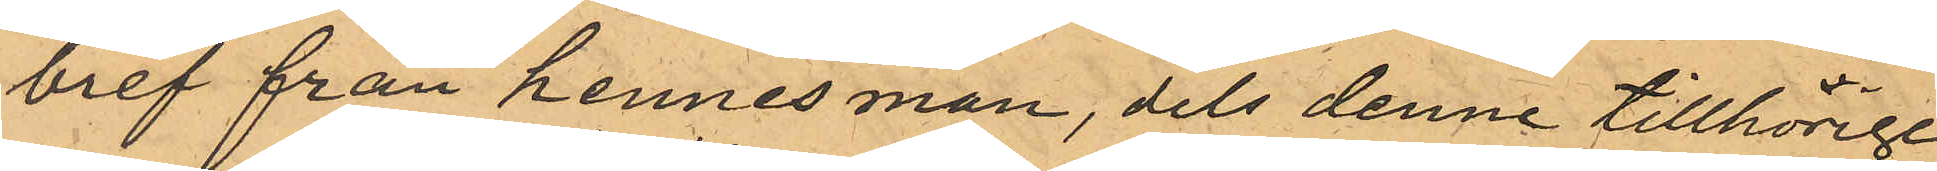bref från hennes man, dels denne tillhörige
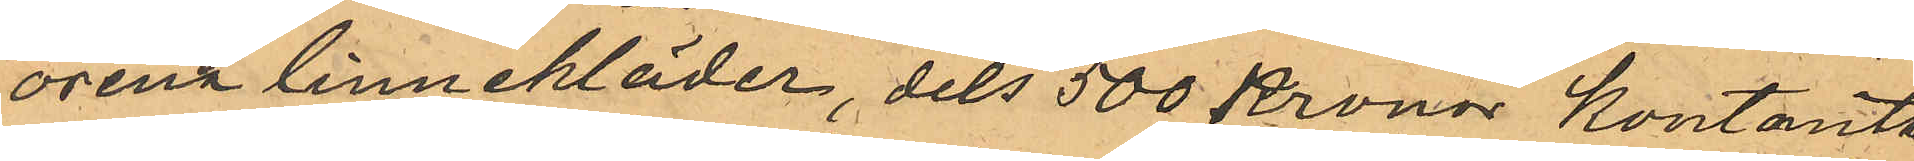orena linnekläder, dels 500 Kronor kontanta
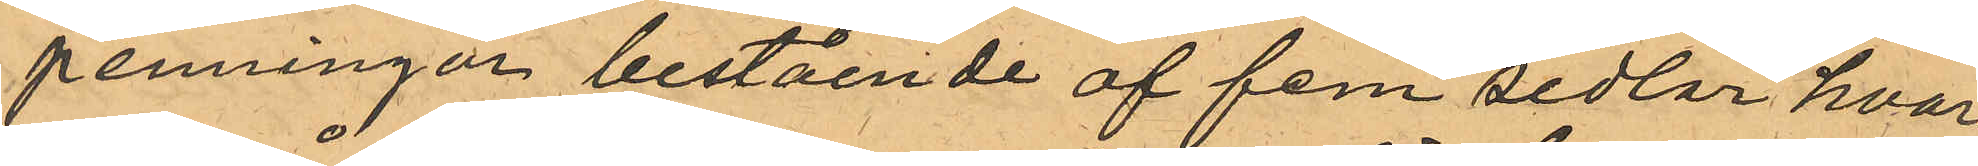penningar bestående af fem sedlar hvar¬
